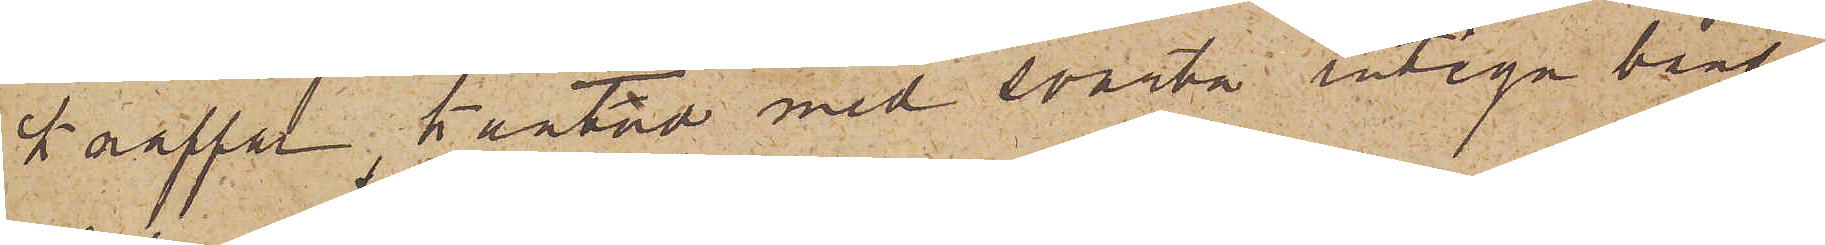knappar, kantad med svarta rutiga band
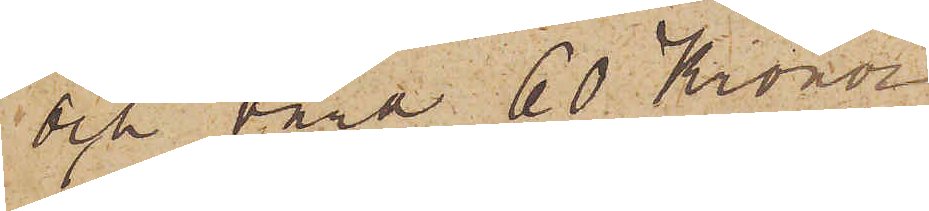och värd 60 Kronor
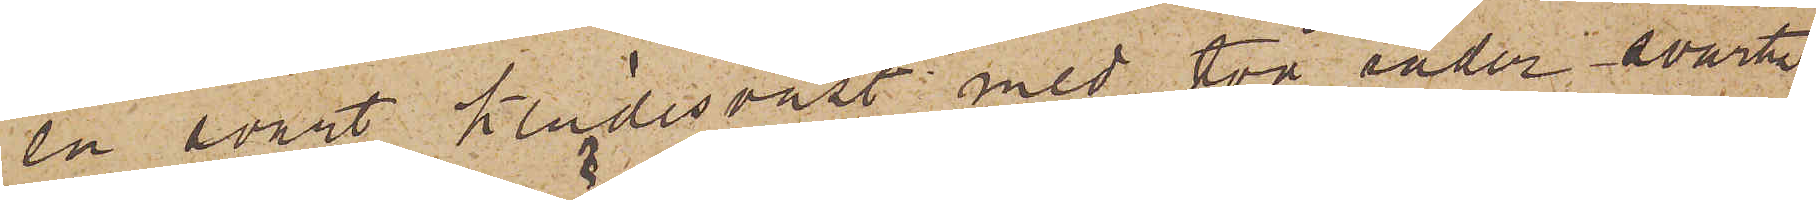en svart klädesväst med två rader svarta
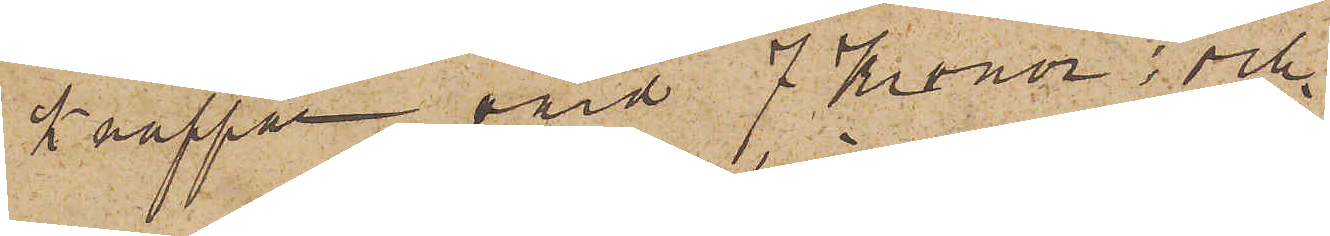knappar, värd 7 Kronor; och
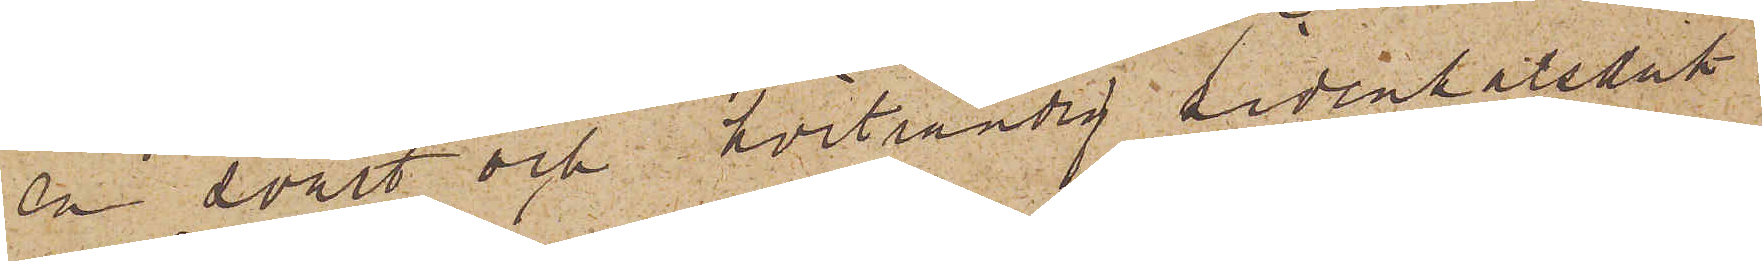en svart och hvitrandig sidenhalsduk
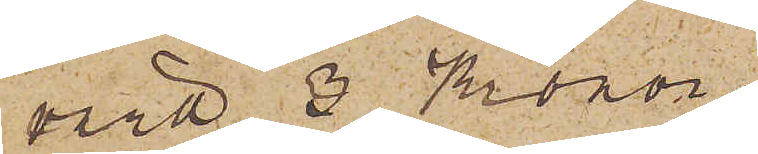värd 3 Kronor.
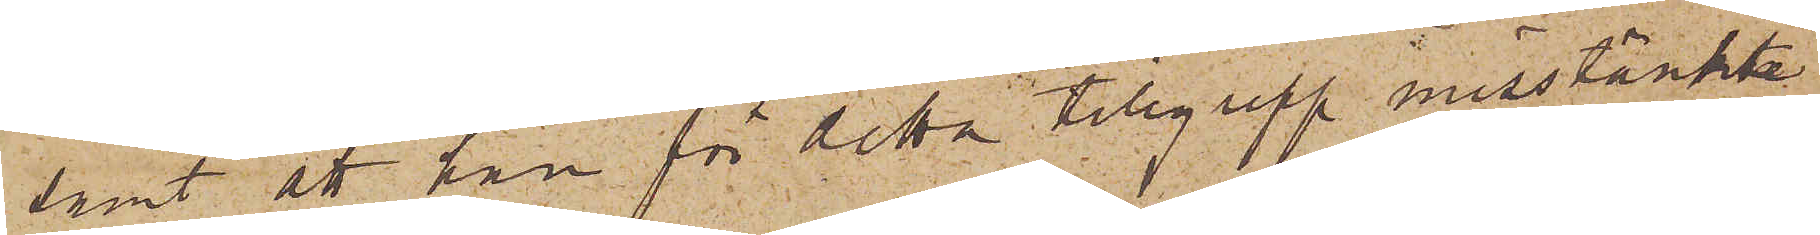samt att han för detta tillgrepp misstänkte
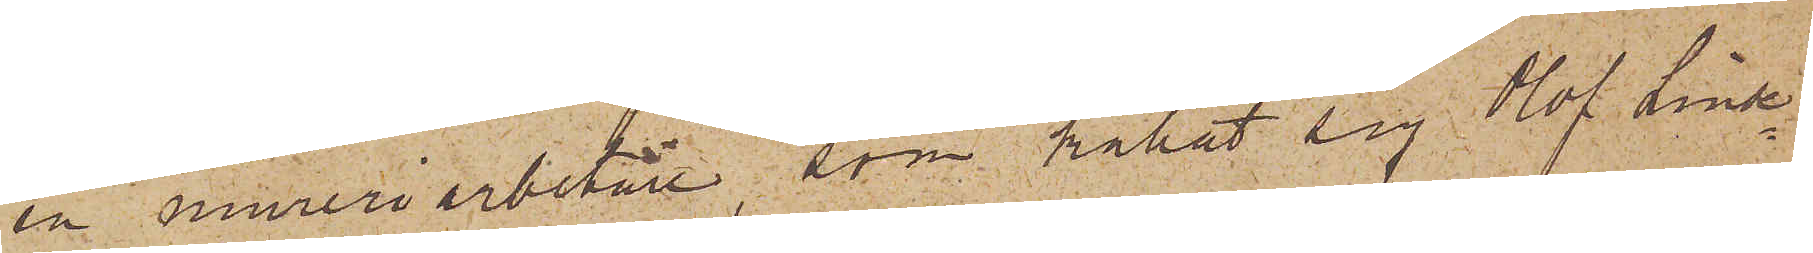en mureriarbetare, som kallat sig Olof Linde¬
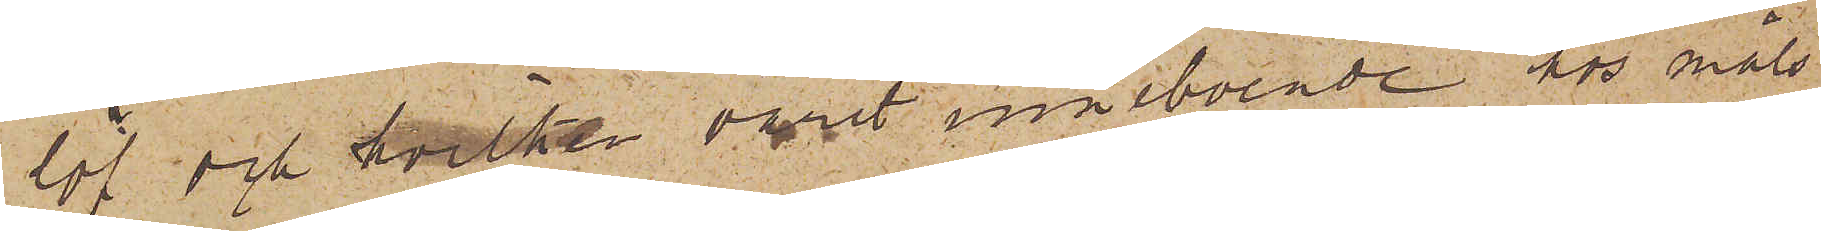löf, och hvilken varit inneboende hos måls¬
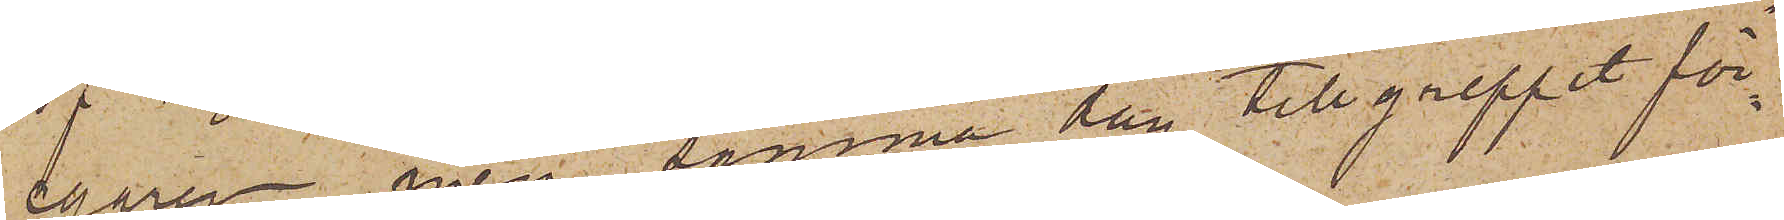egaren men samma dag tillgreppet för¬
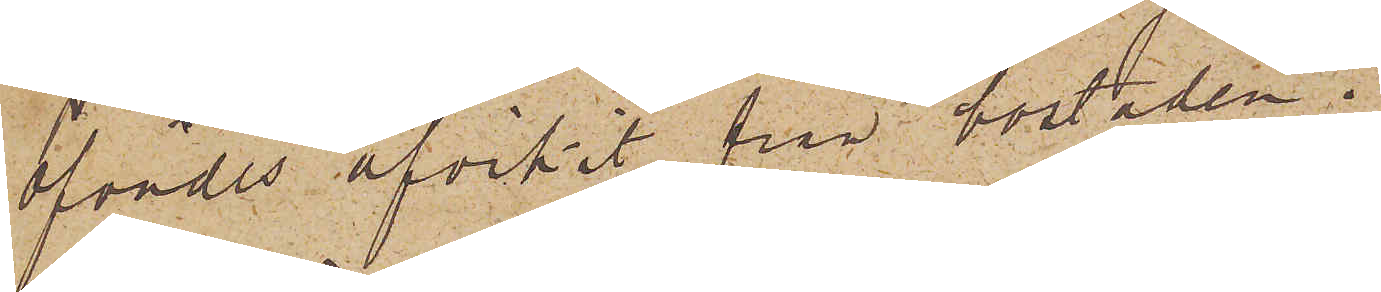öfvades afvikit från bostaden.
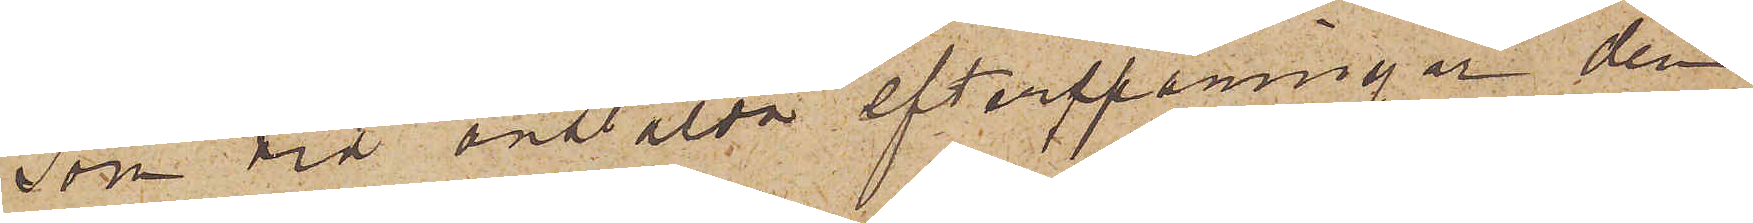Som vid anstälda efterspaningar den
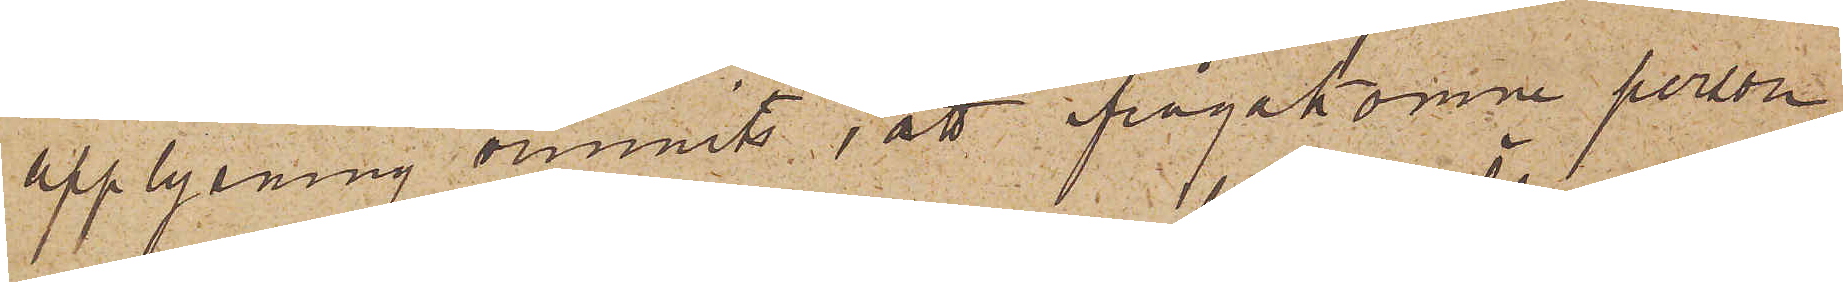upplysning vunnits att ifrågakomne person,
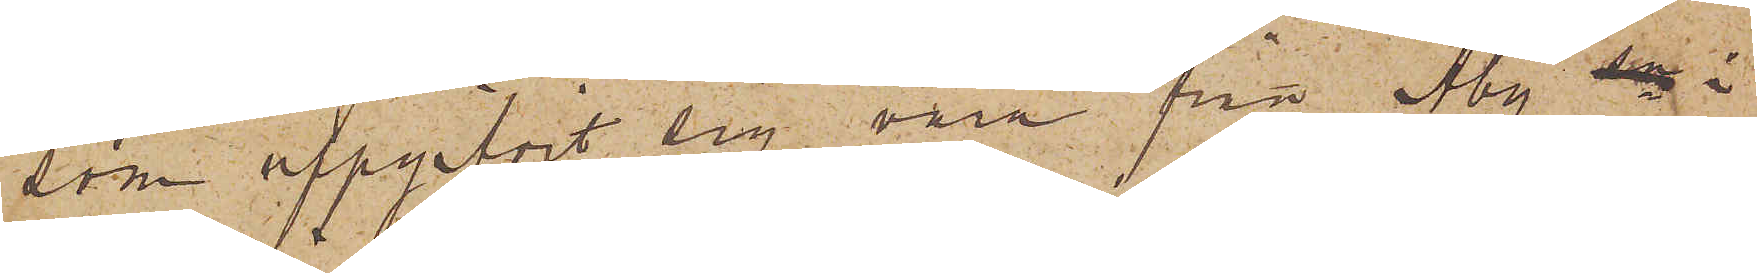som uppgifvit sig vara från Åby i
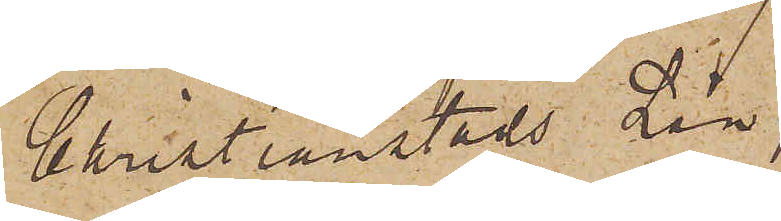Christianstads Län,
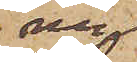nu
